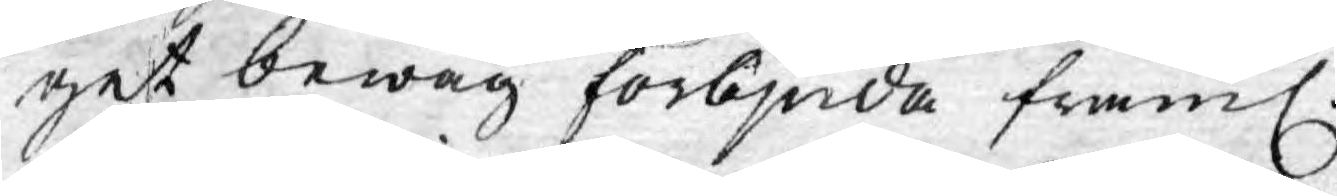get bewåg förbjuda framl.
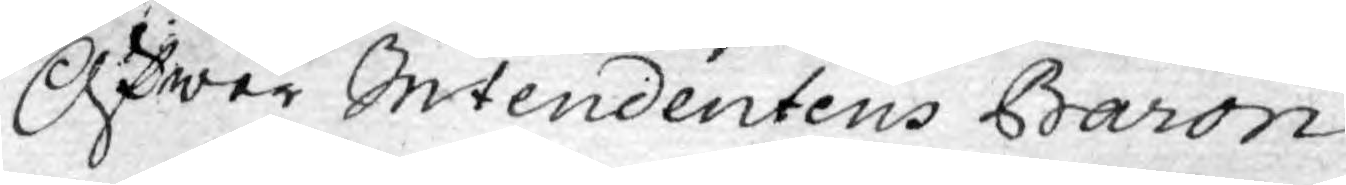Öfwer Intendentens Baron
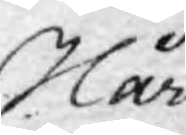Hår¬
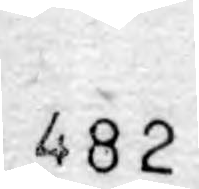482
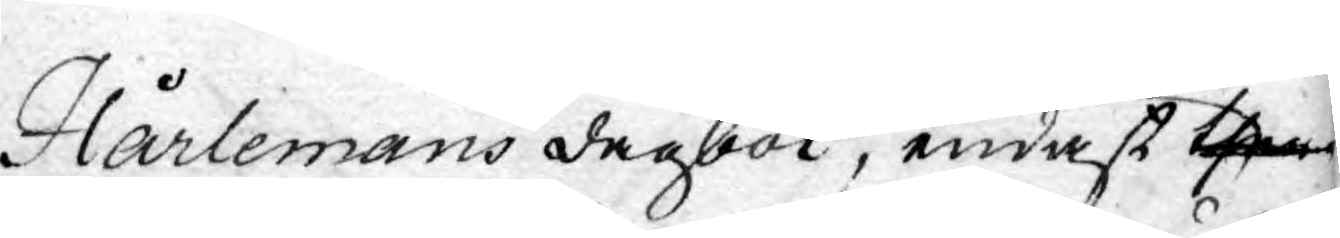Hårlemans dagbok, endast ther
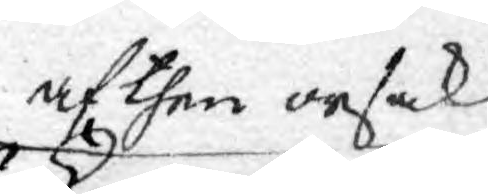af then orsak
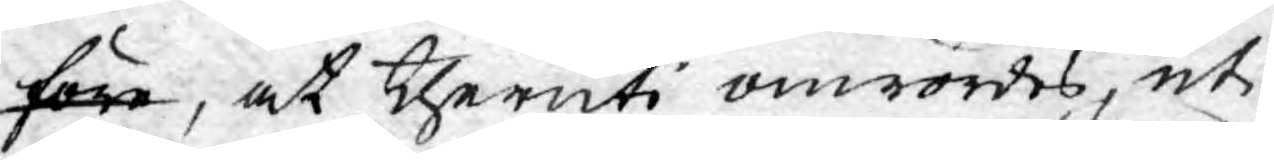före, at theruti omrördes, uti
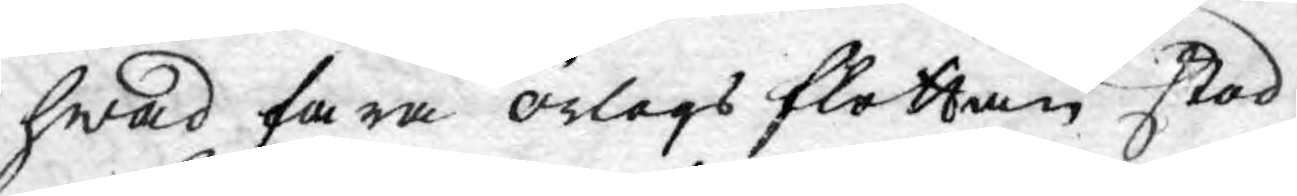hwad fara örlogs flottan stod
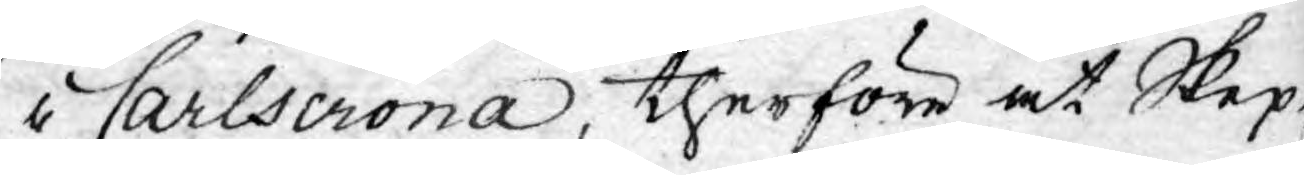i Carlscrona, therföre at Skep-
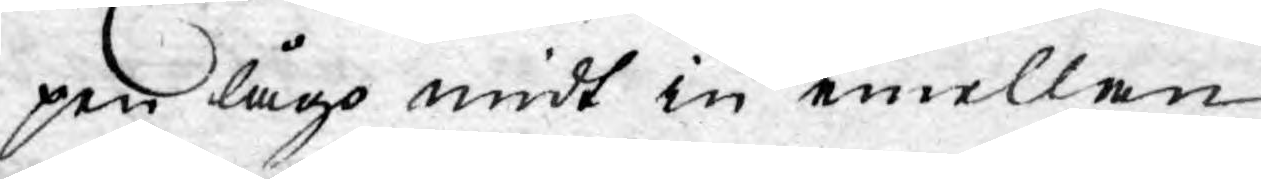pen lågo midt in emellan
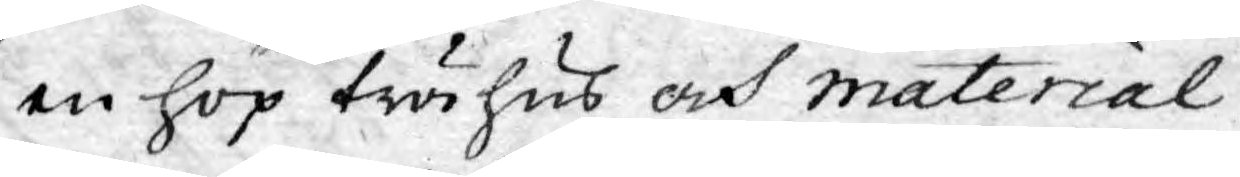en hop trähus och material
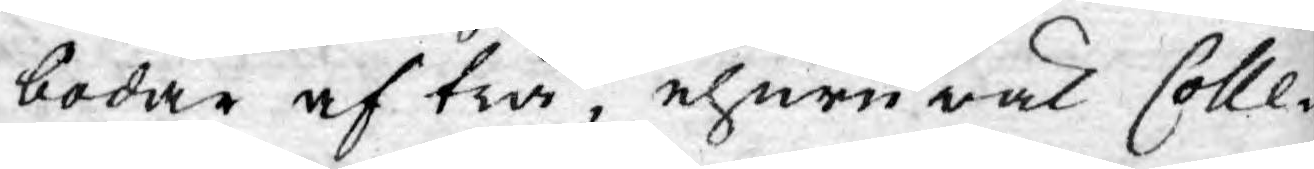bodar af trä, ehuru wäl Colle¬
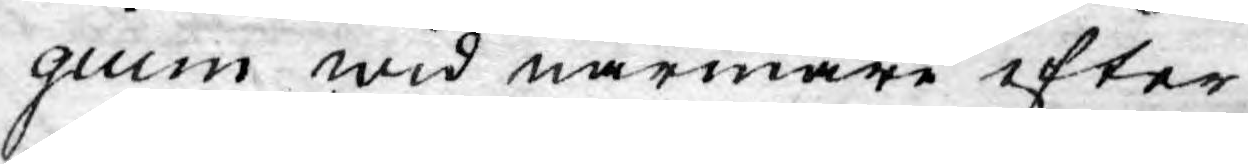gium wid närmare efter¬
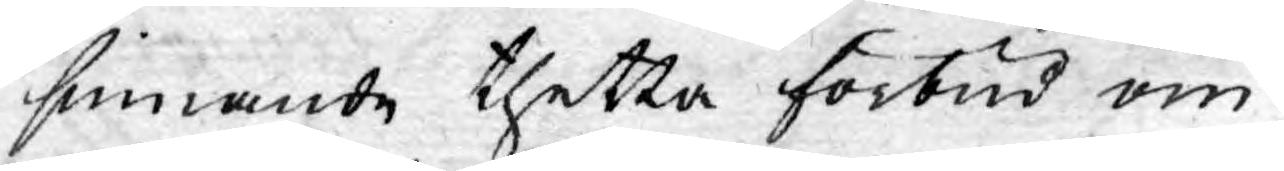sinnande thetta förbud om¬
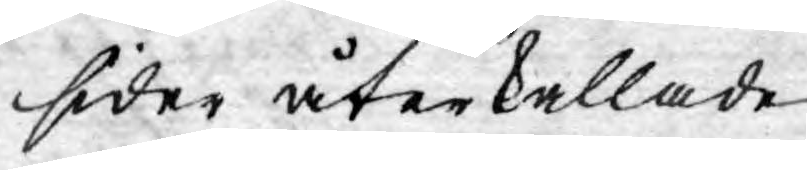sider återkallade.
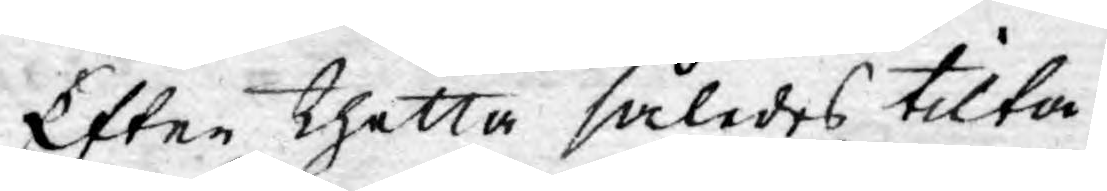Efter thetta således tilta¬
